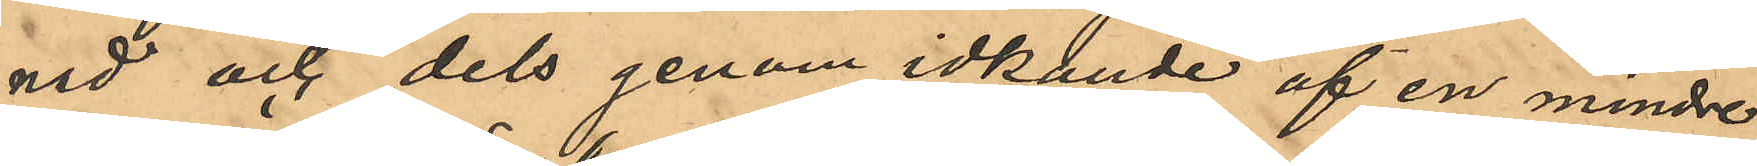nad och dels genom idkande af en mindre
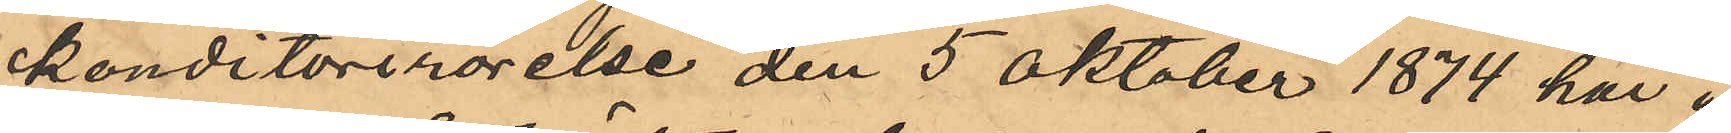konditorirörelse den 5 Oktober 1874 här i
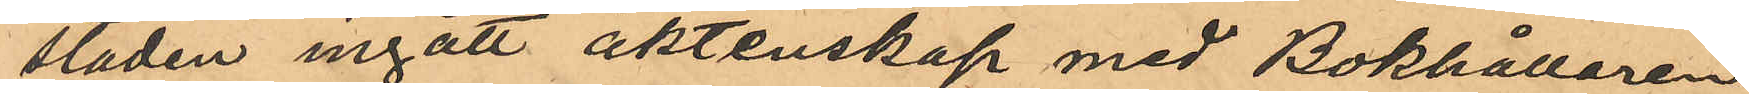staden ingått äktenskap med Bokhållaren
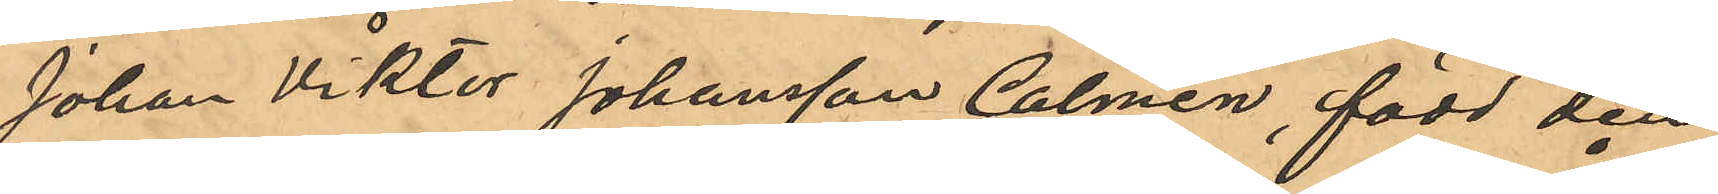Johan Viktor Johansson Calmén, född den
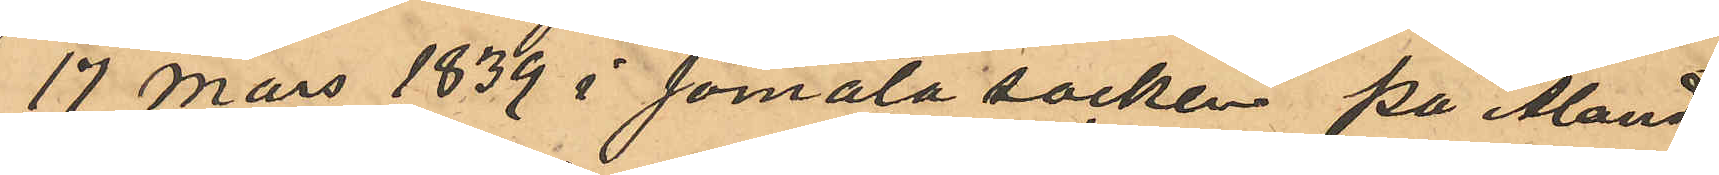17 mars 1839 i Jomala socken på Åland,
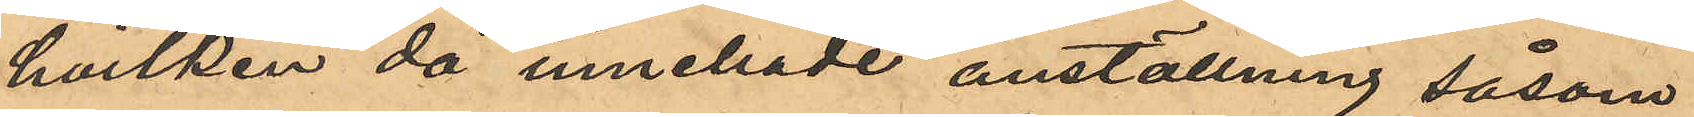hvilken då innehade anställning såsom
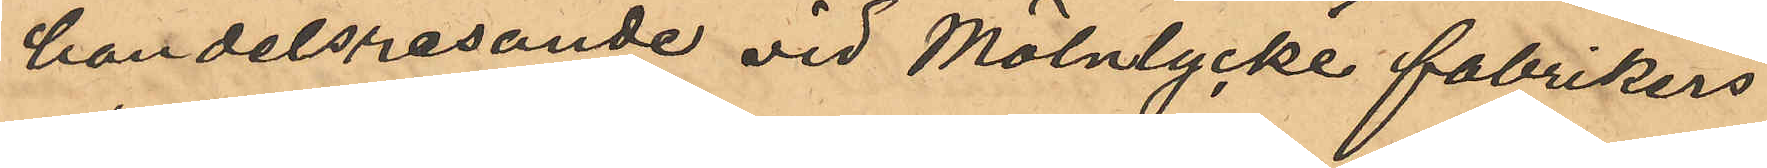handelsresande vid Mölnlycke fabrikers
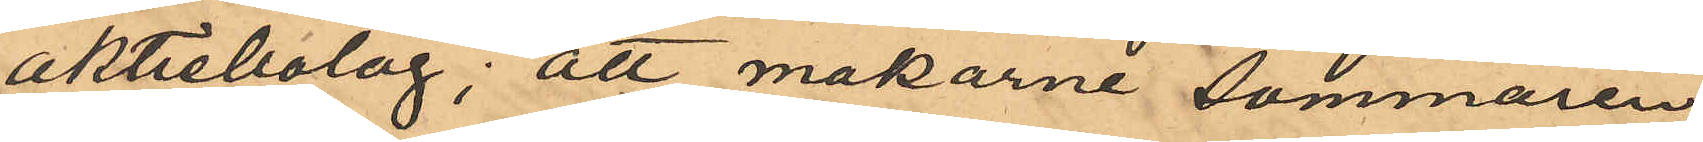aktiebolag; att makarne sommaren
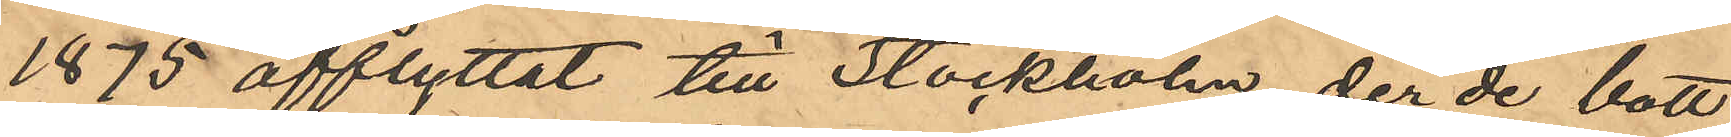1875 afflyttat till Stockholm, der de bott
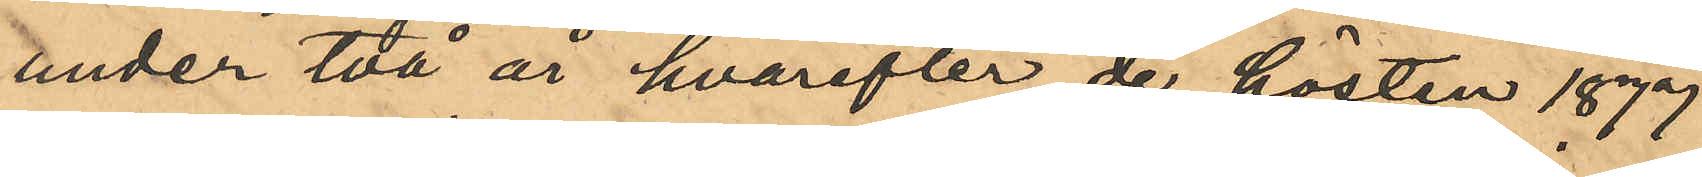under två år, hvarefter de hösten 1877
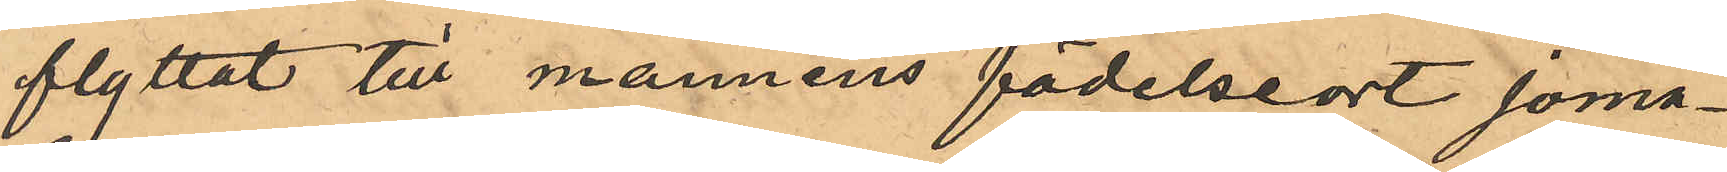flyttat till mannens födelseort Joma¬
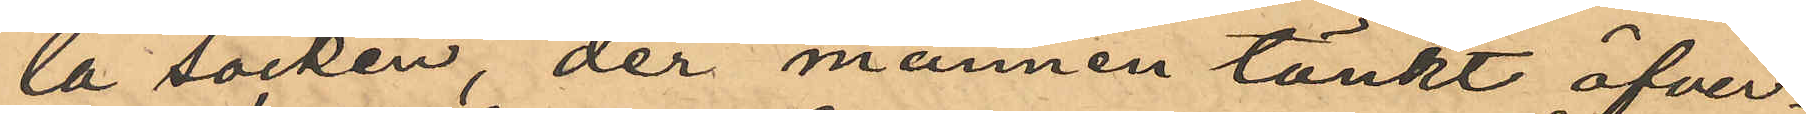la socken, der mannen tänkt öfver¬
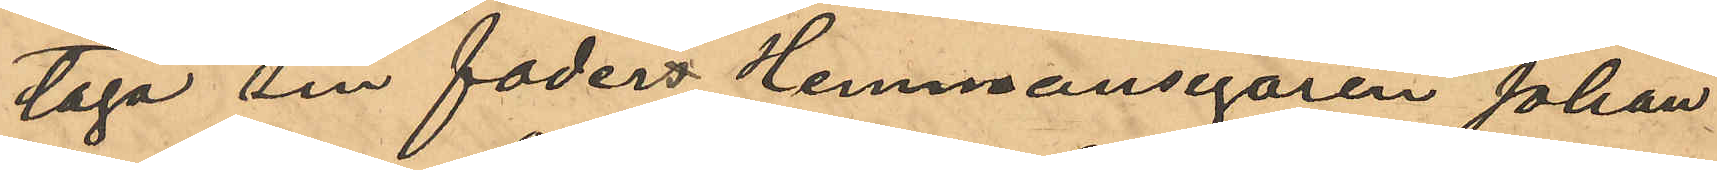taga sin faders Hemmansegaren Johan
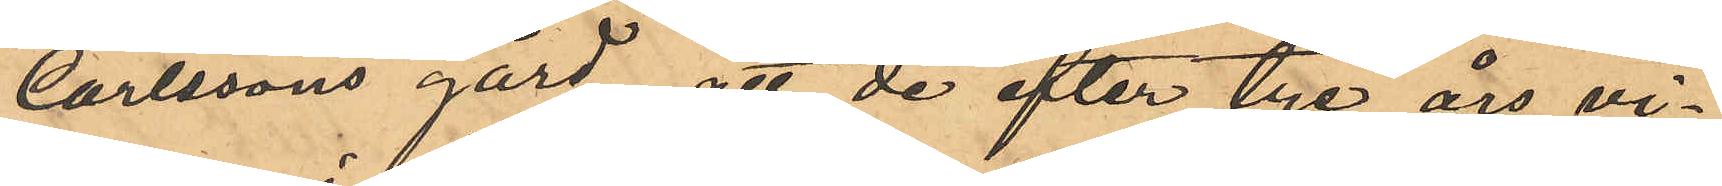Carlssons gård; att de efter tre års vi¬
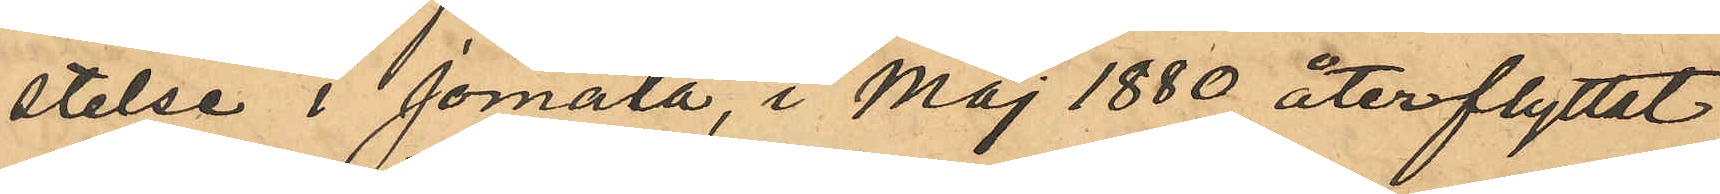stelse i Jomala i Maj 1880 återflyttat
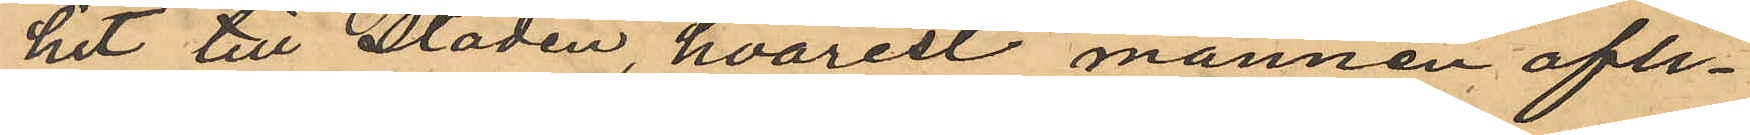hit till staden, hvarest mannen afli¬
